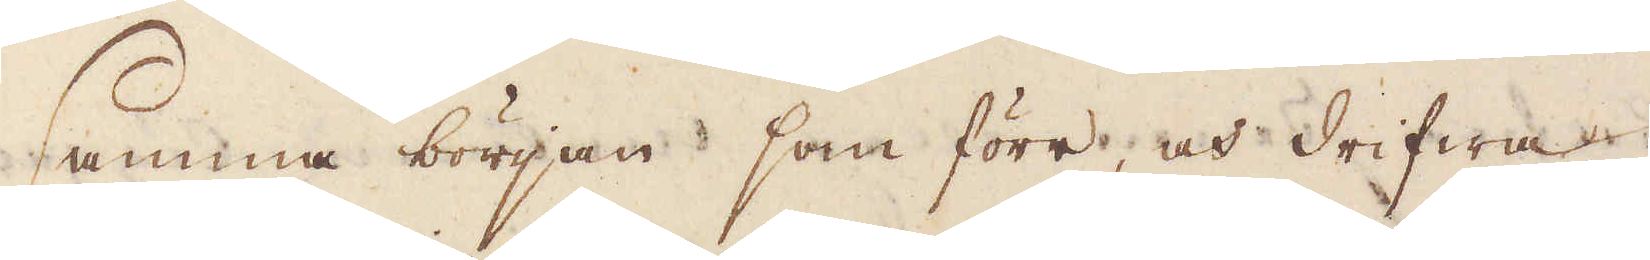samma början som förr, och drifwa
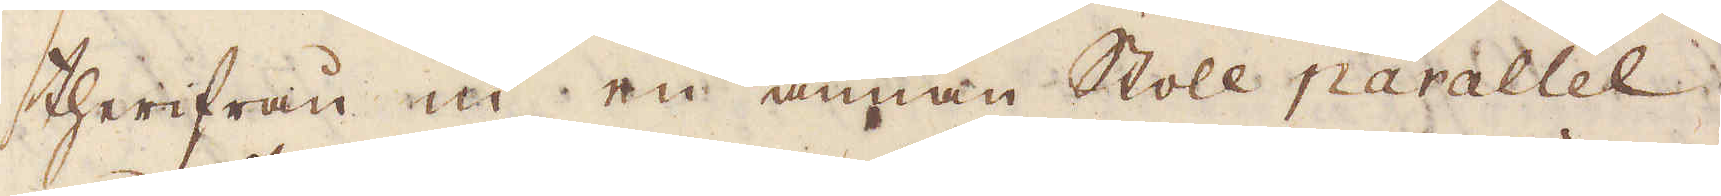therifrån in en annan Stoll parallel
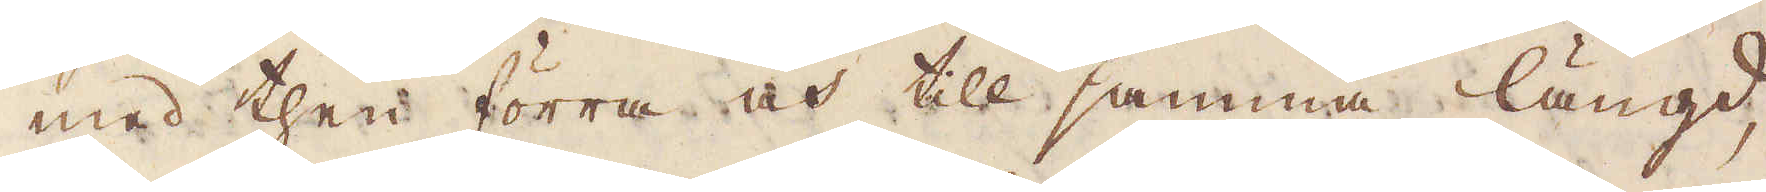med then förra och till samma längd,
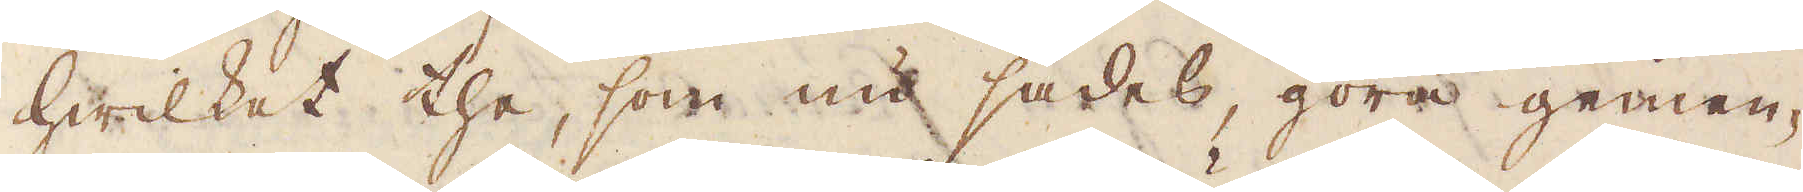hwilket the, som nu sades, göra gemen-
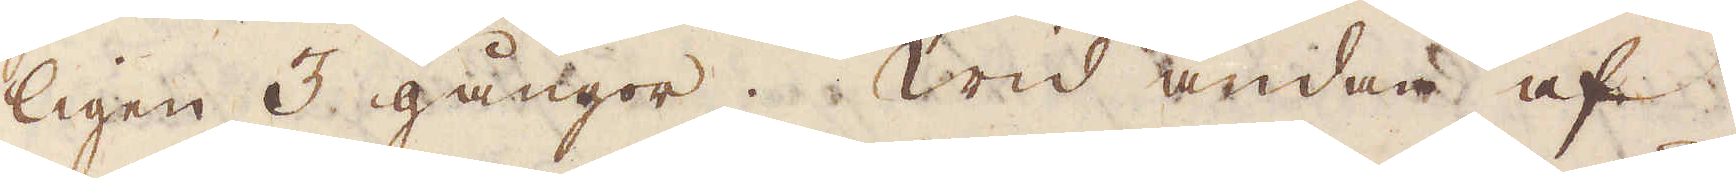ligen 3 gångor. Wid ändan af
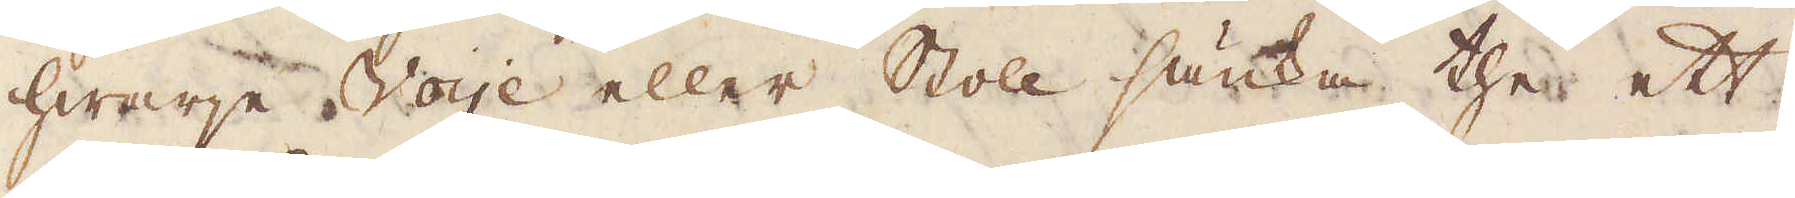hwarje Voye eller Stoll sänka the ett
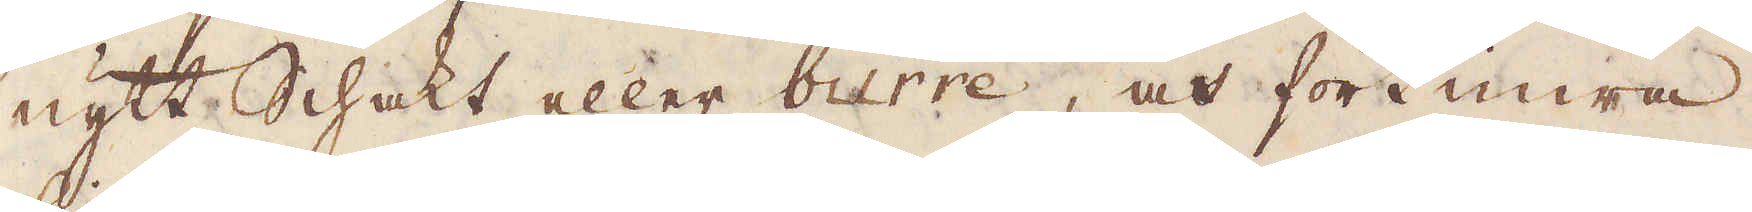nytt Schakt eller burre, och förtimra
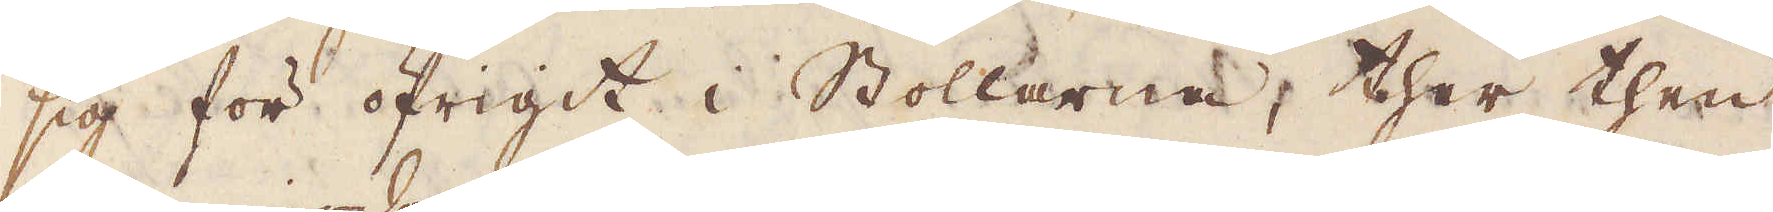sig för öfrigit i Stollarna, ther then
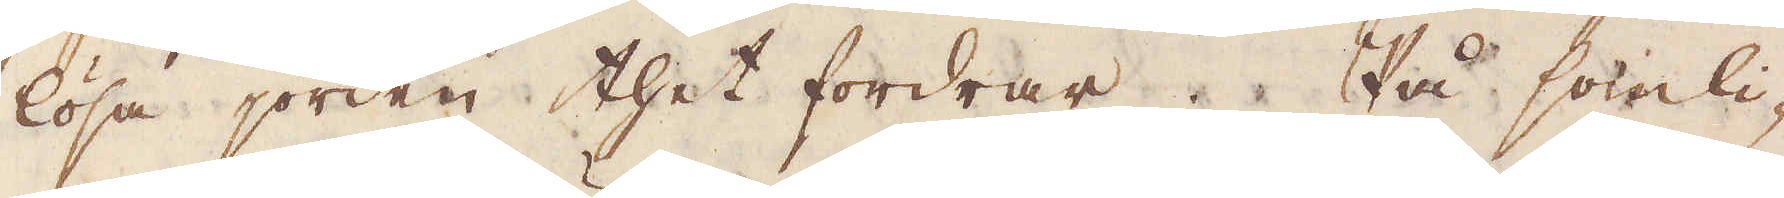lösa jorden thet fordrar. På somli-
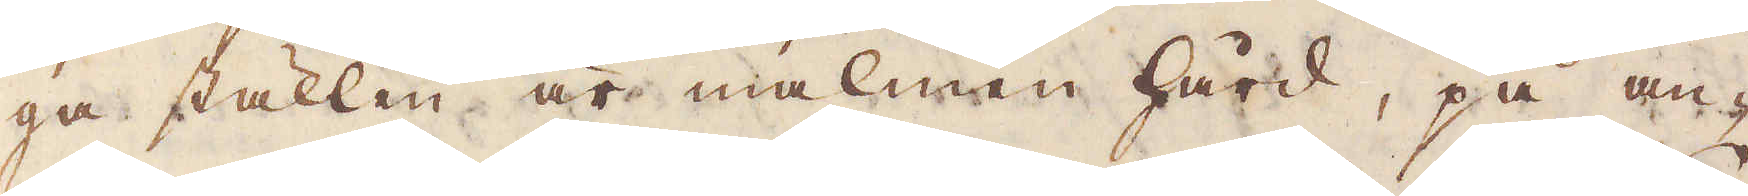ga ställen är malmen hård, på an-
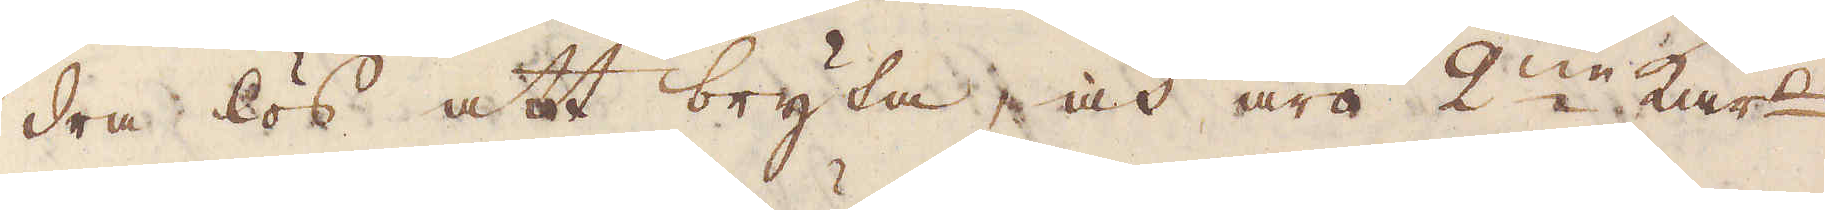dra lös att bryta, och äro 2:ne kar-
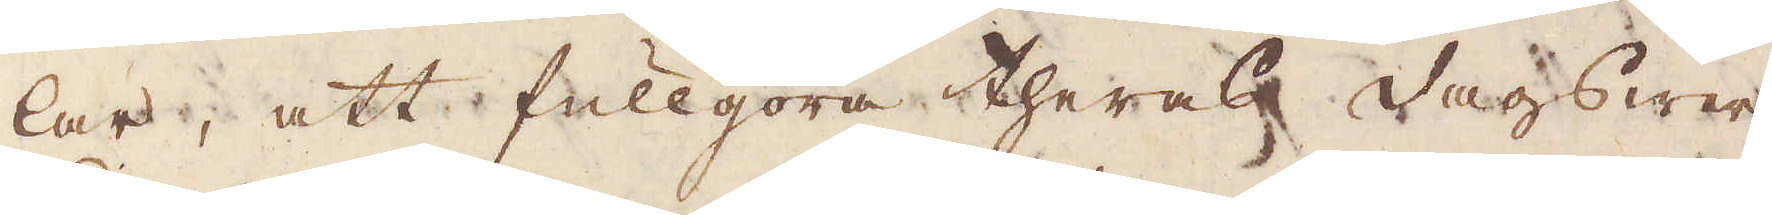lar, att fullgöra theras dagswer-
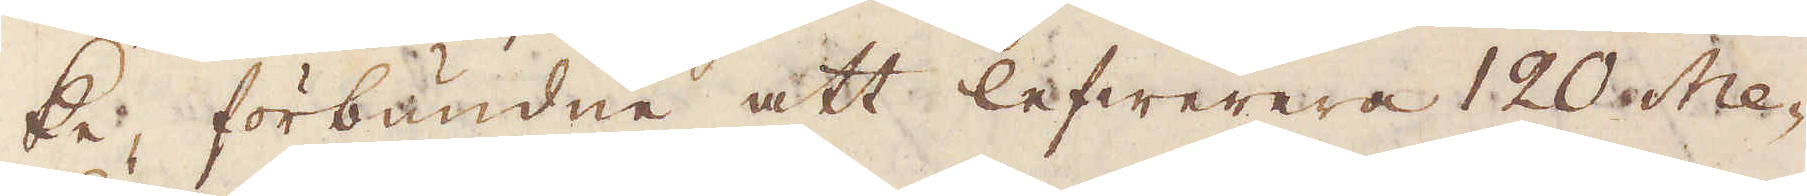ke, förbundne att lefwerera 120 Me-
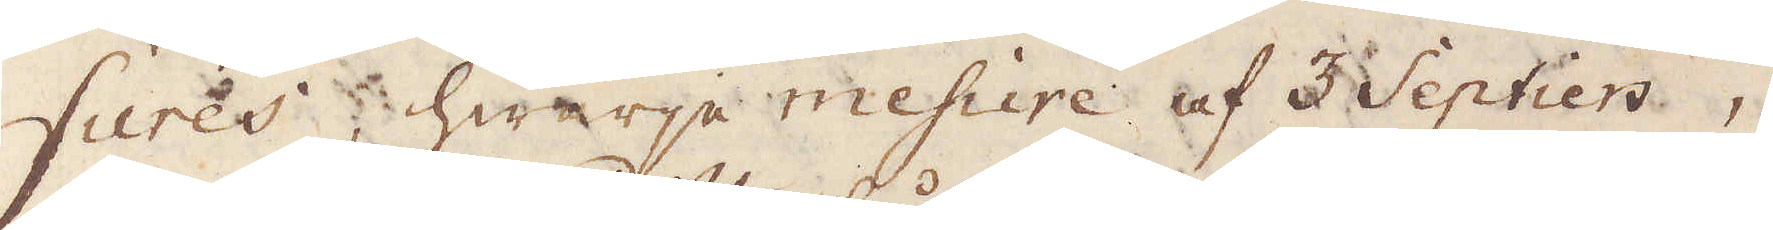sures, hwarje mesure af 3 septiers,
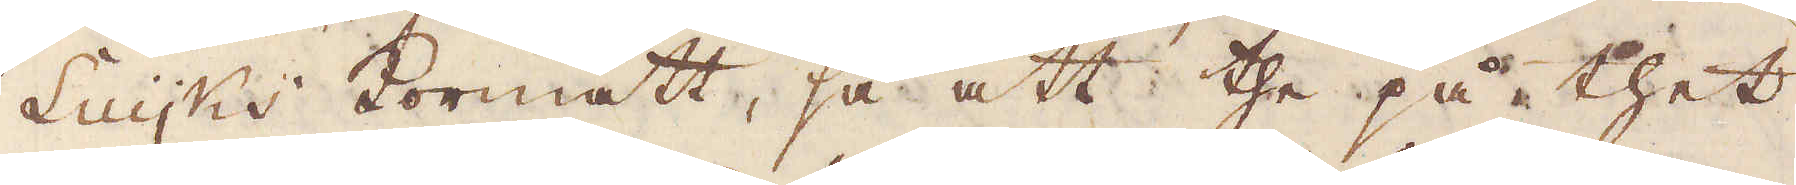Luyks kormått, så att the på thet
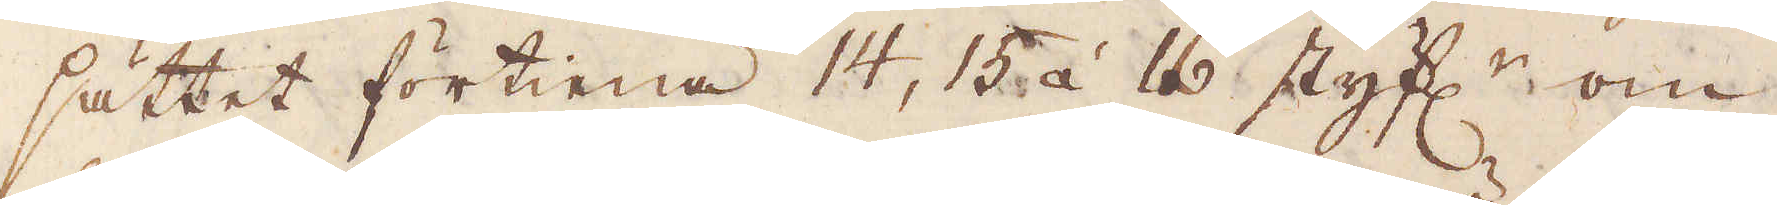sättet förtiena 14, 15 à 16 styf:r om
